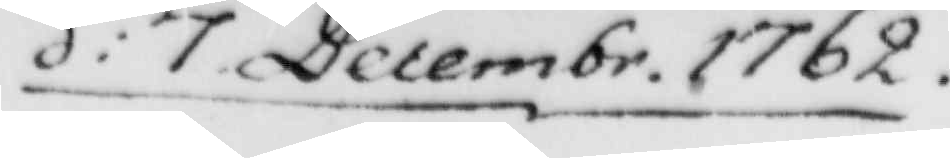d: 7 Decembr. 1762.
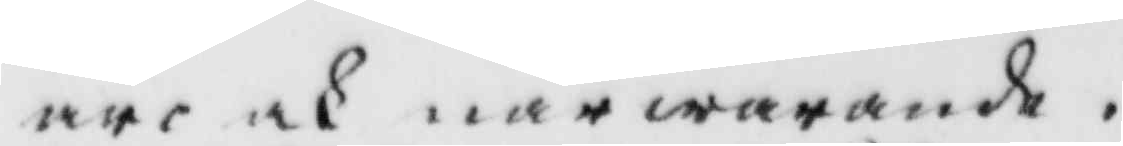äre ok närwarnade.
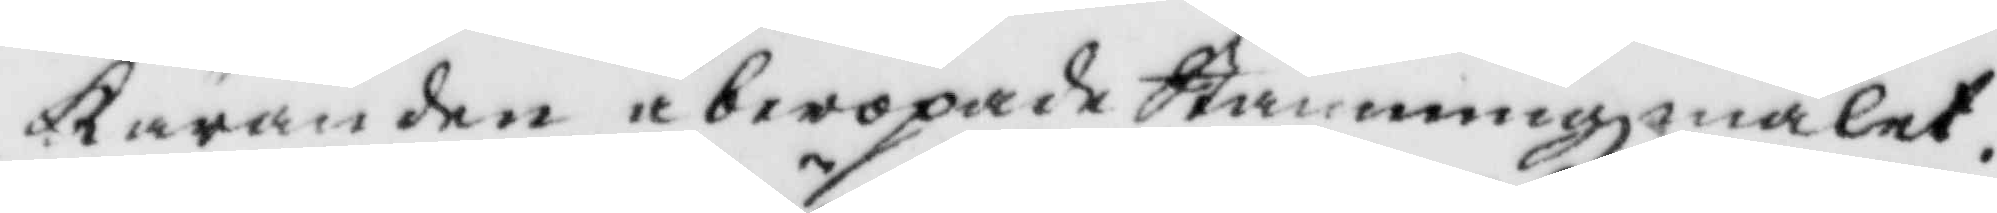Käranden åberopade Stämmningzmålet.
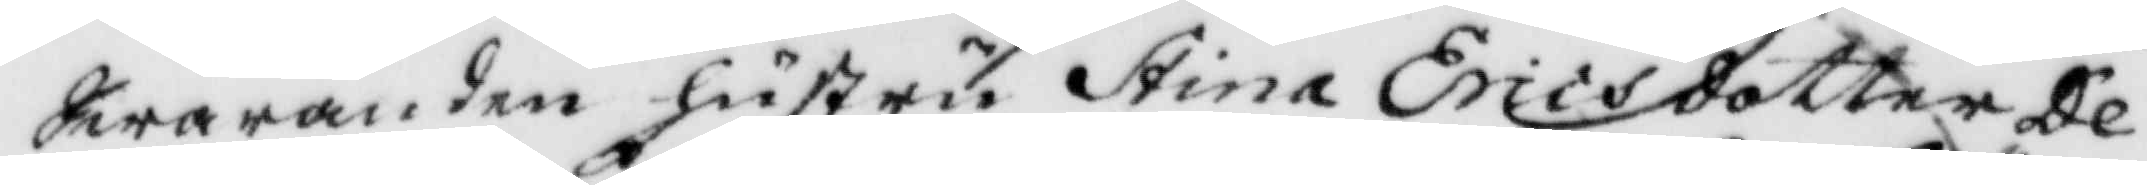Swaranden hustru Stina Ericsdotter De¬
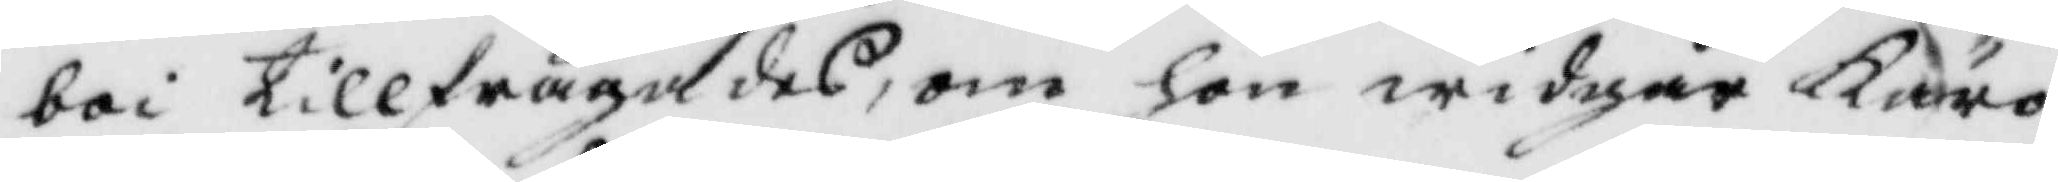boi tillfrågades, om hon widgår Käro¬
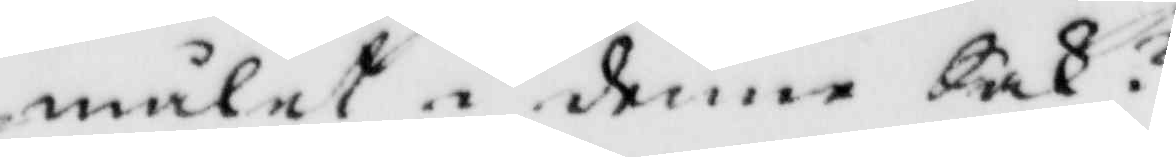målet i denne Sak?
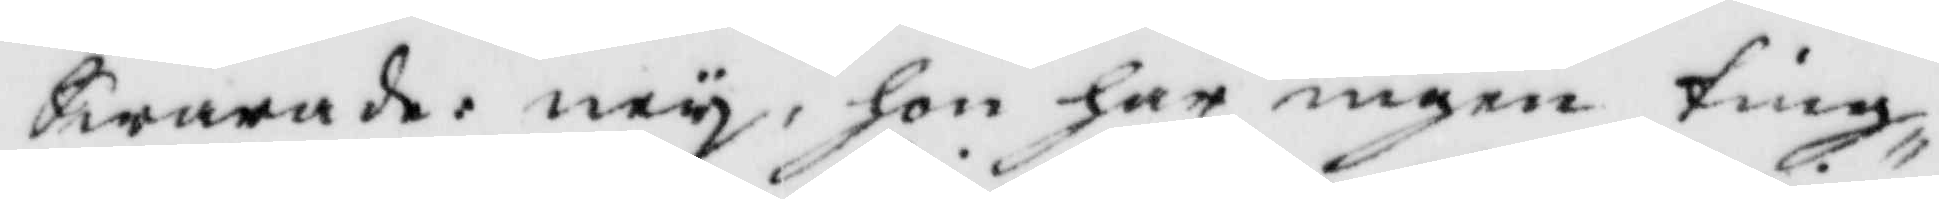Swarade: ney, hon har ingen ting
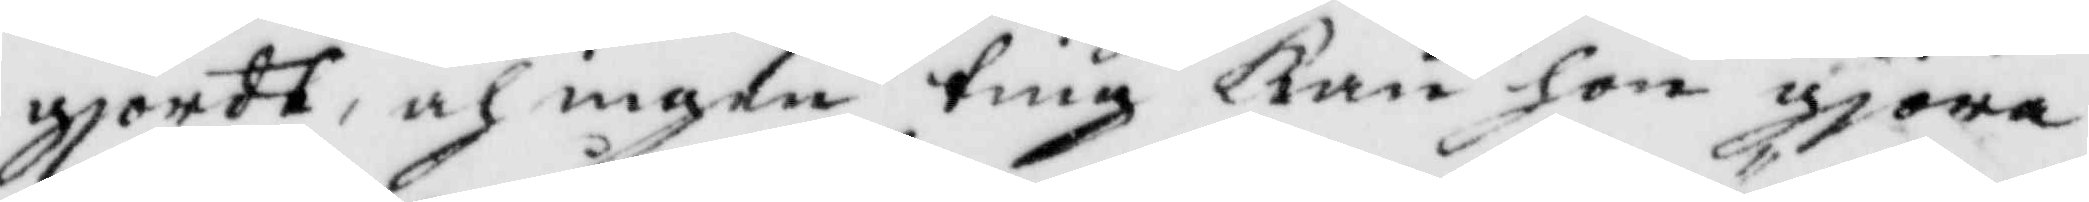gjordt, och ingen ting kan hon gjöra
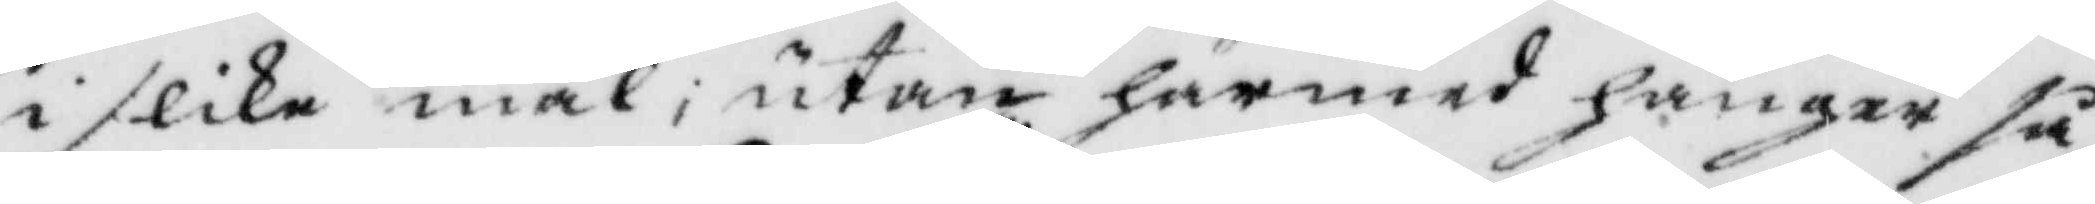i slika mål, utan härmed hänger så
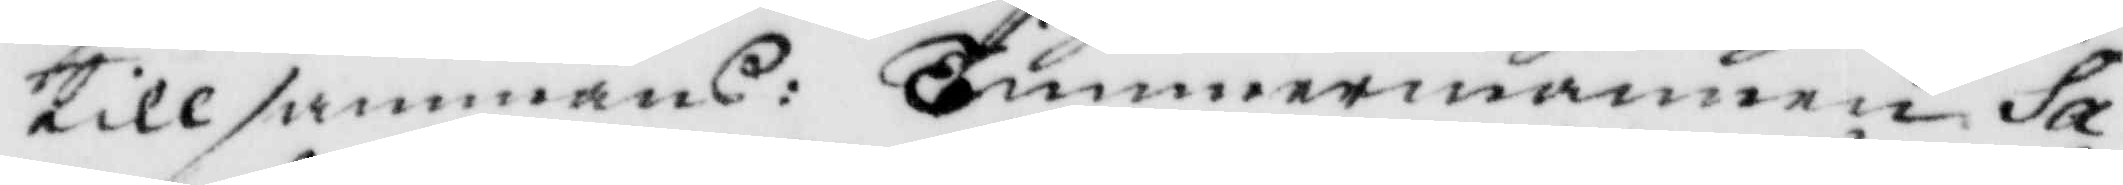till sammans: Timmernannen Sa¬
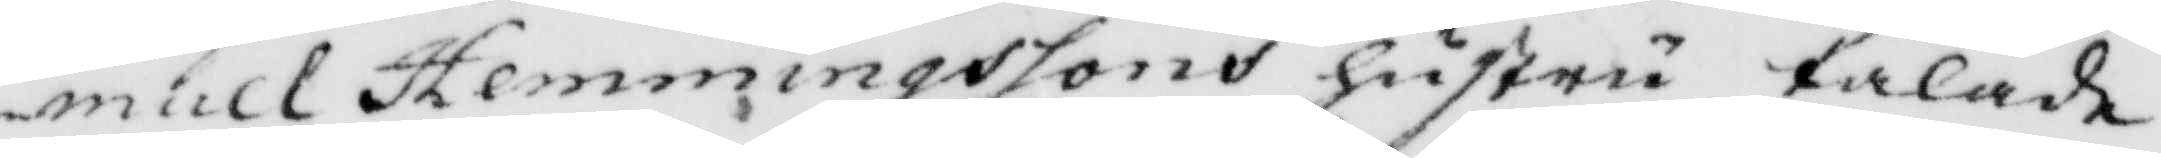muel Hemmingssons hustru talade
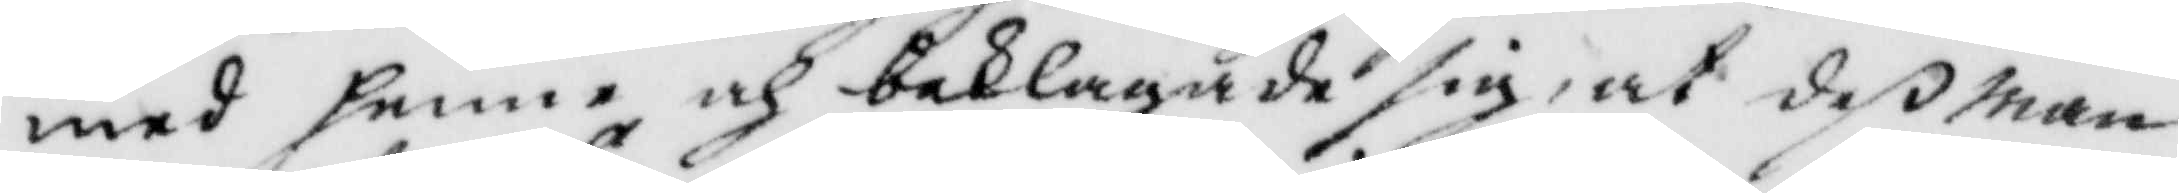med henne och beklagade sig, at deß man
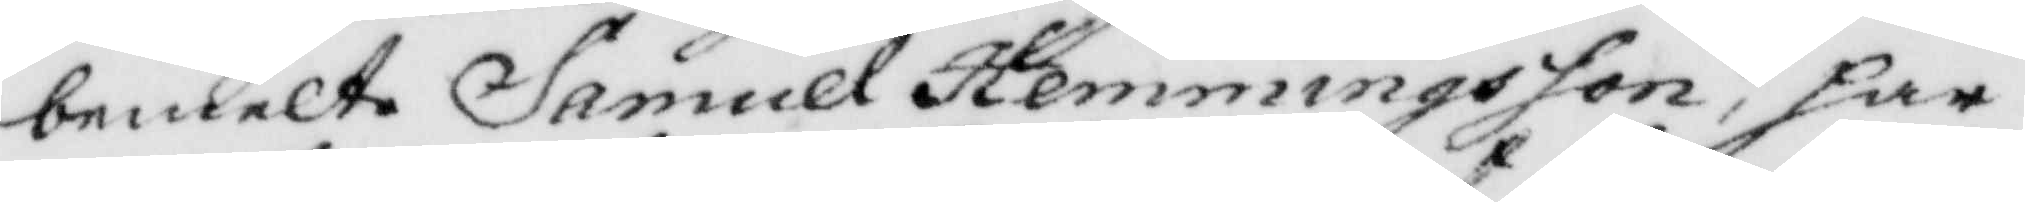bemelte Samuel hemmingsson, har
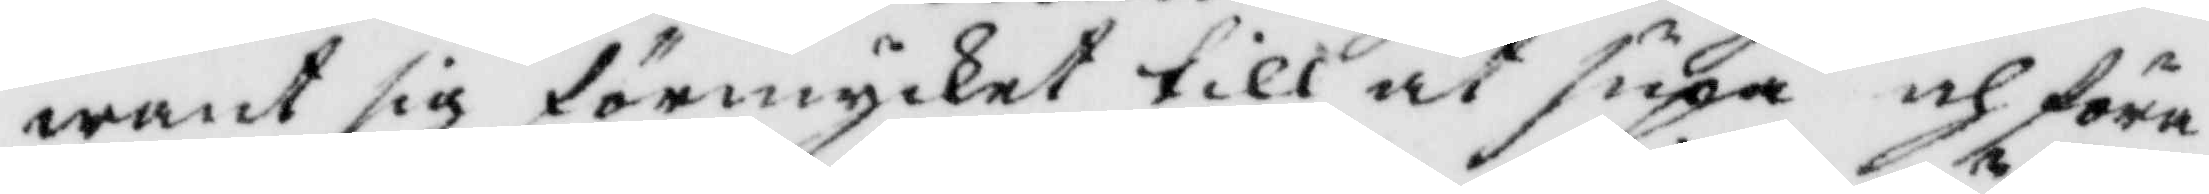want sig förmycket till at supa och föra
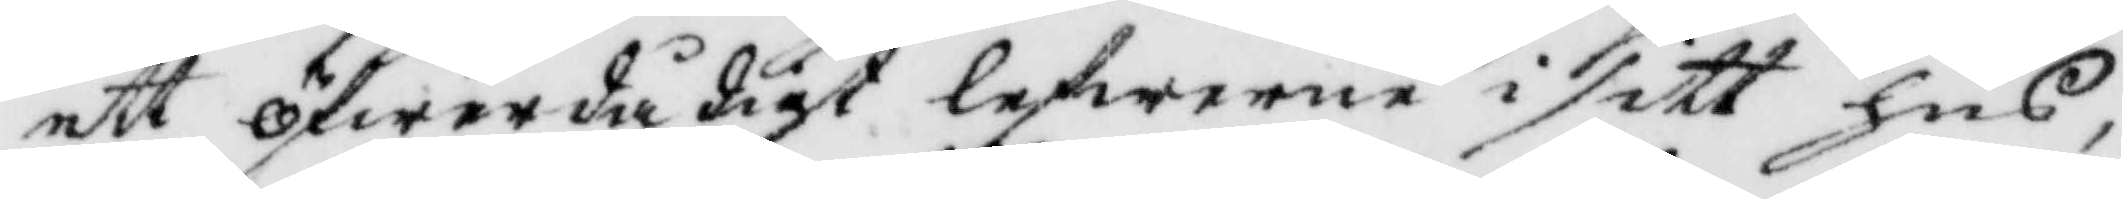ett öferdådigt lefwerne i sitt hus,
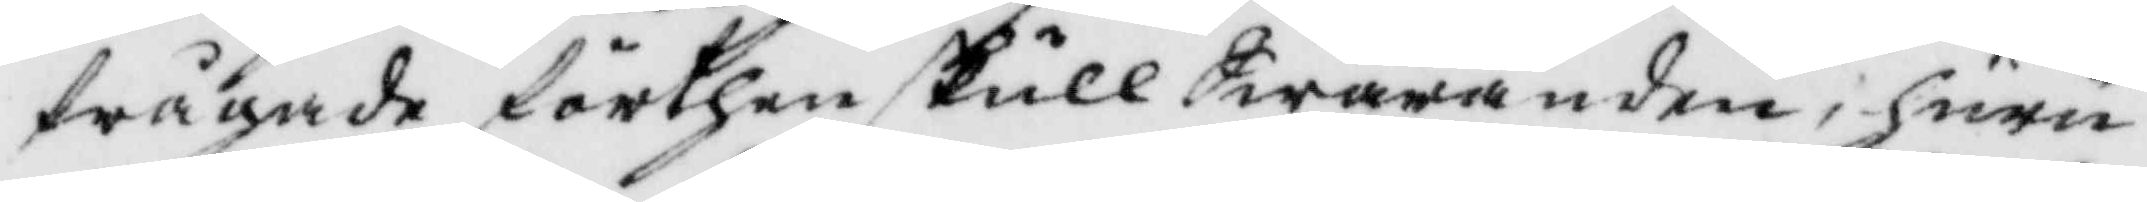frågade förthen skull Swaranden huru
